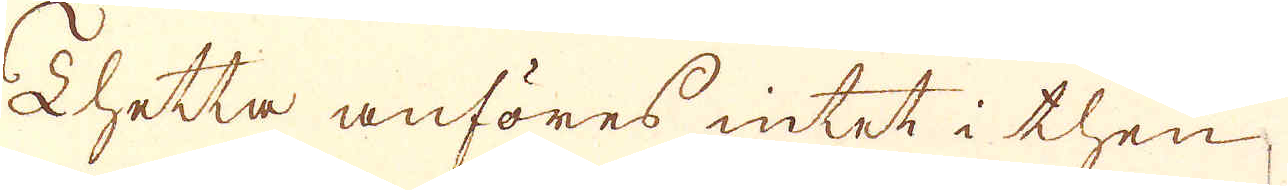Thetta anföres intet i then
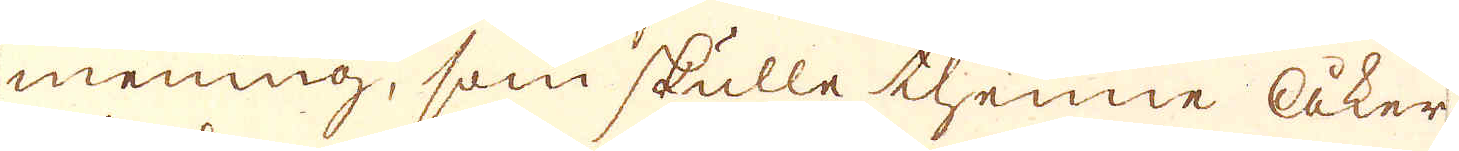mening, som skulle thenne åker-
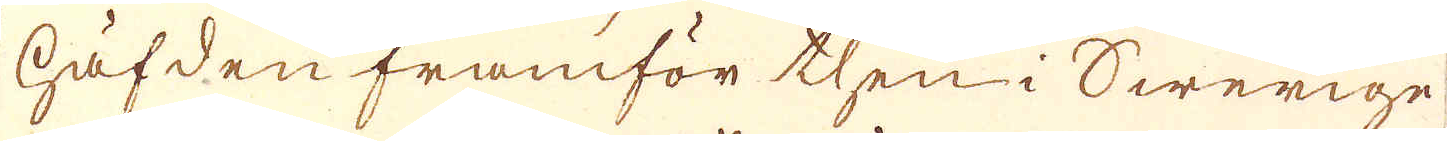häfden framför then i Swerige
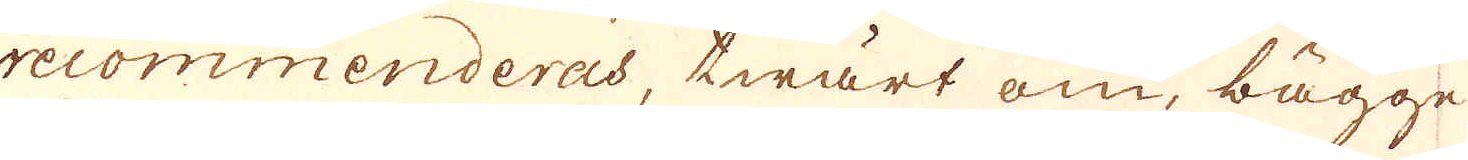recommenderas, twärt om, bägge
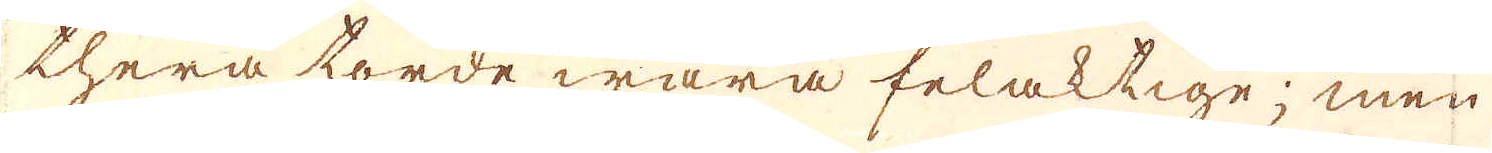thera torde wara felaktige; men
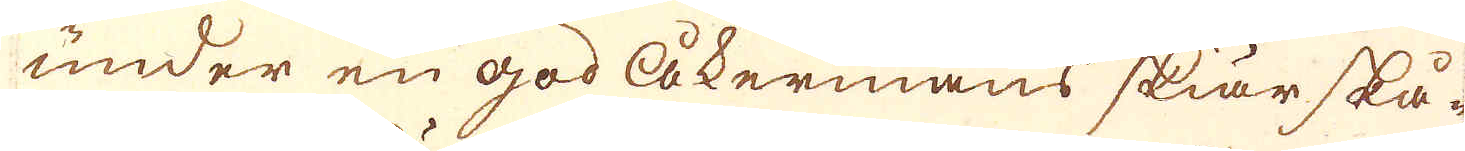under en god åkermans skiär skå-
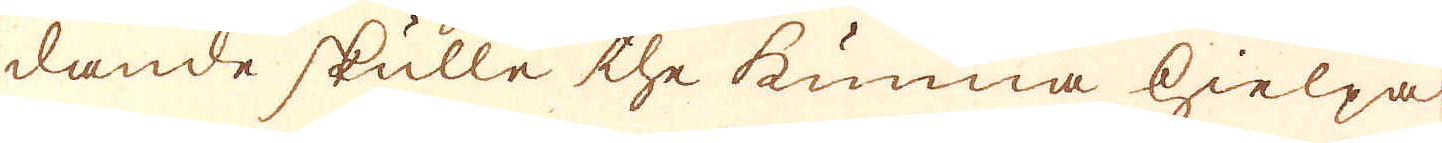dande skulle the kunna hielpa
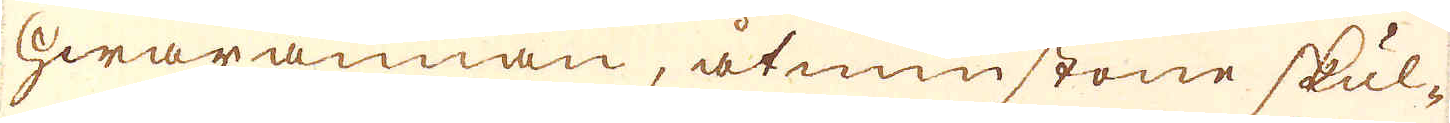hwarannan, åtminstone skul-
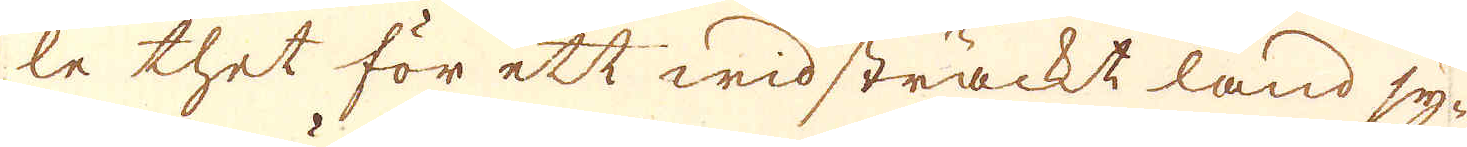le thet för ett widsträckt land sy-
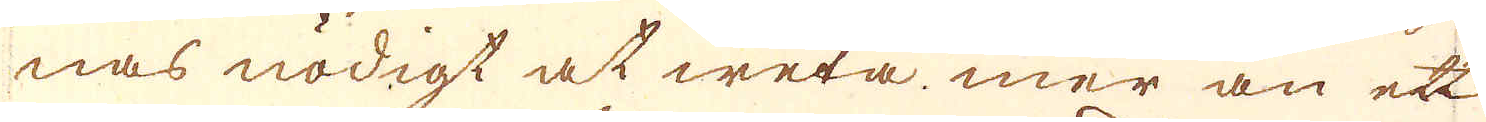nas nödigt at weta, mer än ett
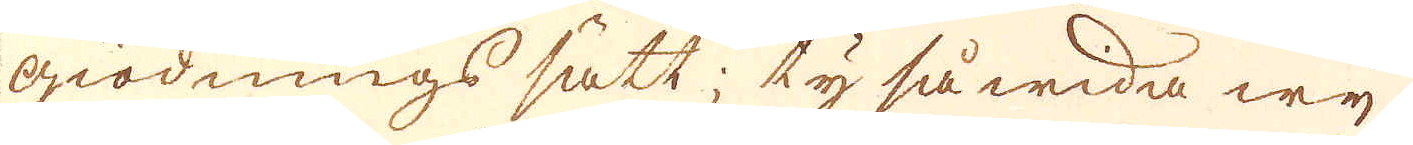giödnings sätt; ty så wida wij
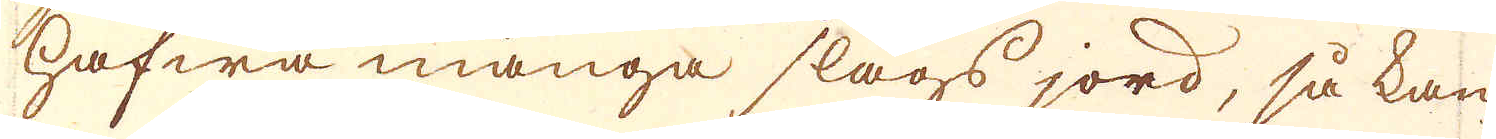hafwa många slags jord, så kan
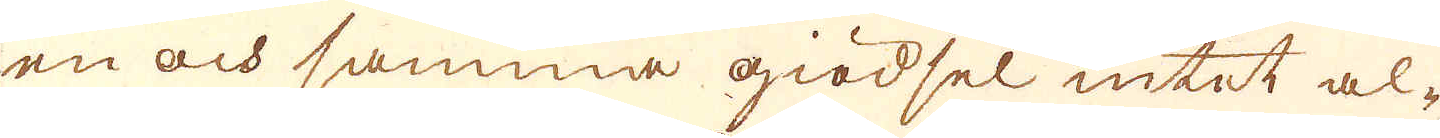en och samma giödsel intet al-
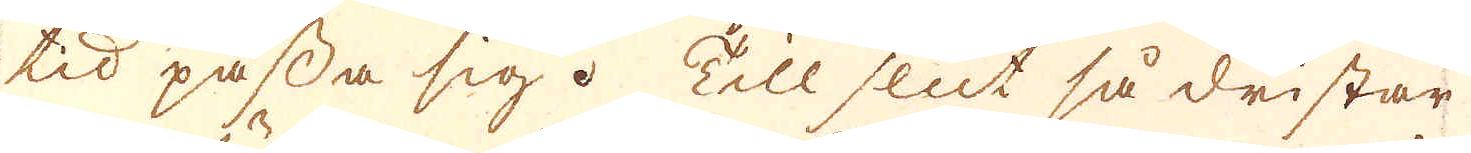tid passa sig. Till slut så dristar
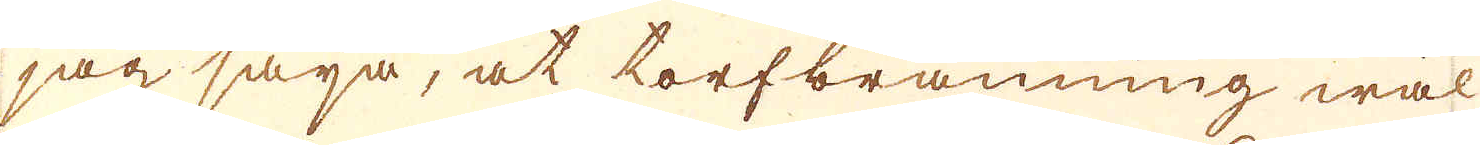jag säija, at torfbränning wäl
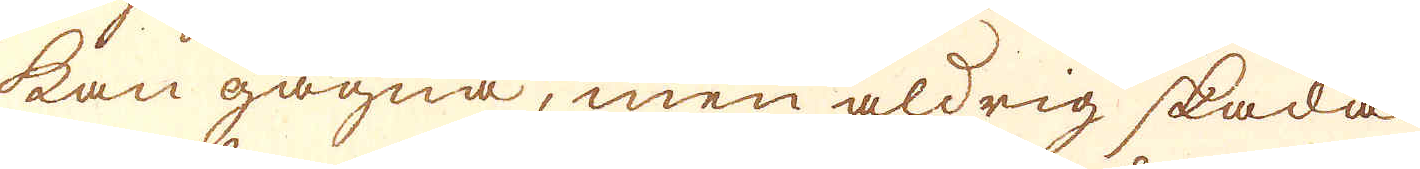kan gagna, men aldrig skada
